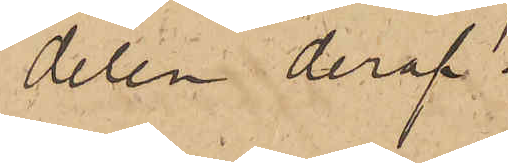delen deraf.
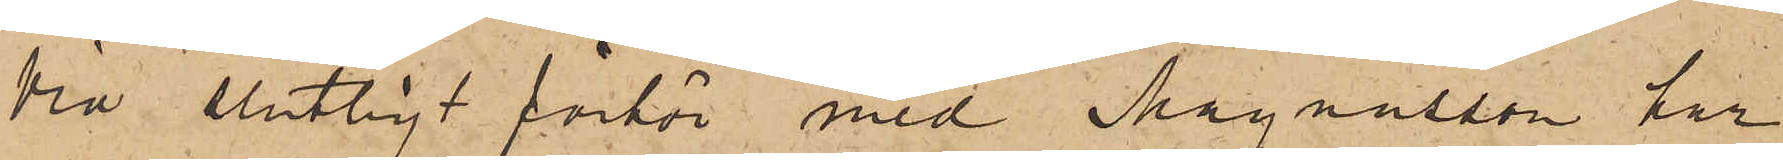Vid slutligt förhör med Magnusson har
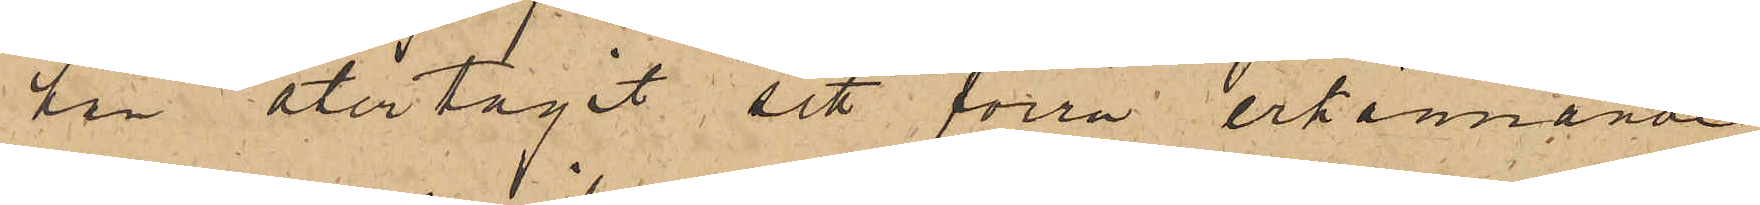han återtagit sitt förra erkännande
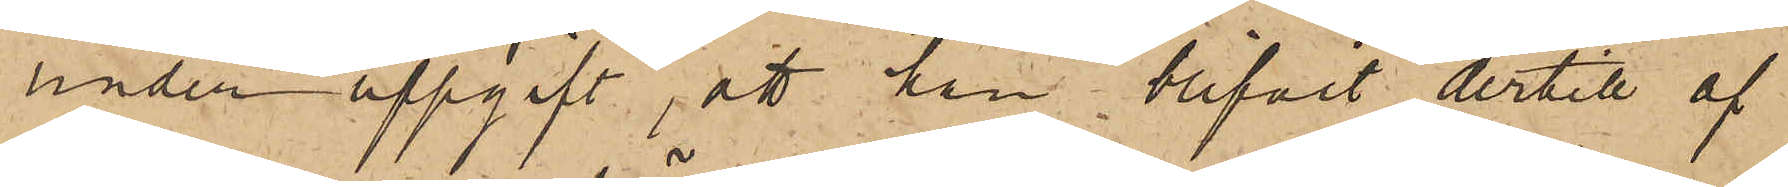under uppgift, att han blifvit dertill af
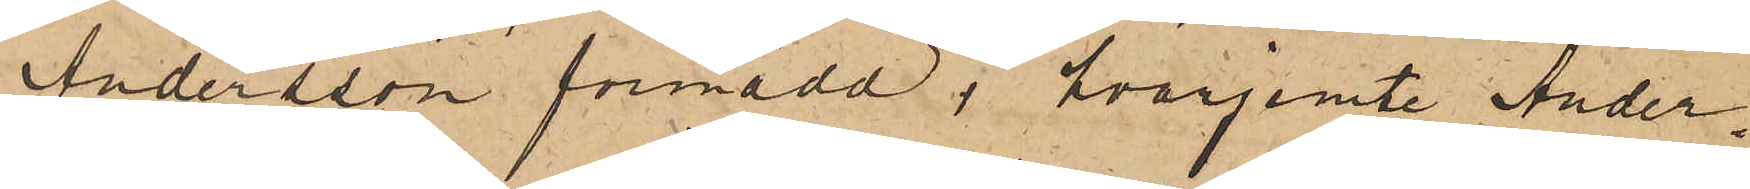Andersson förmådd, hvarjemte Ander¬
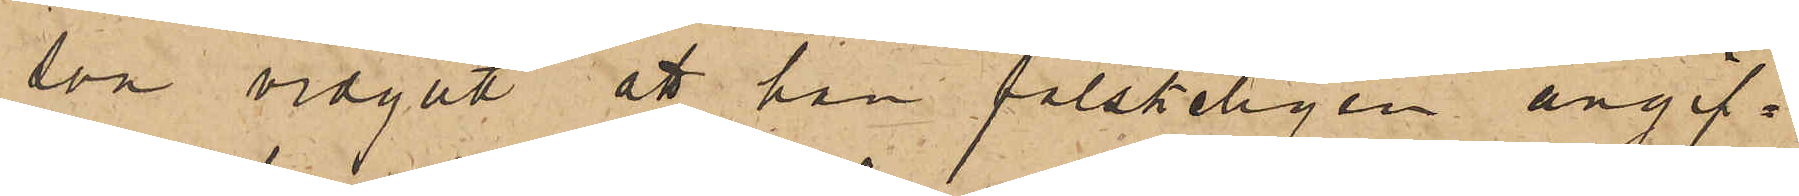son vidgått att han falskeligen angif¬
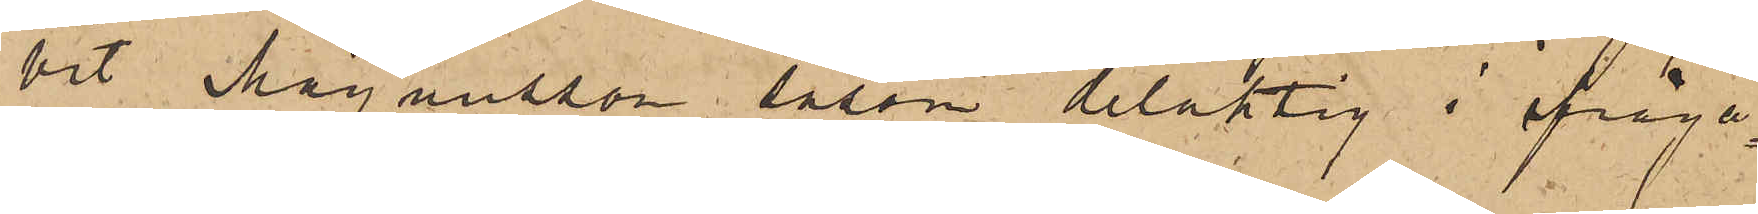vit Magnusson såsom delaktig i ifråga¬
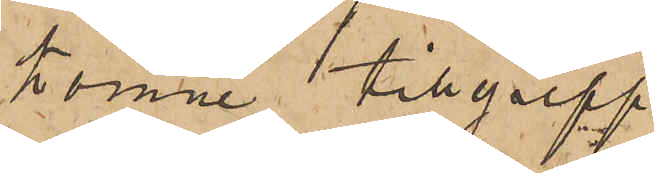komne tillgrepp.
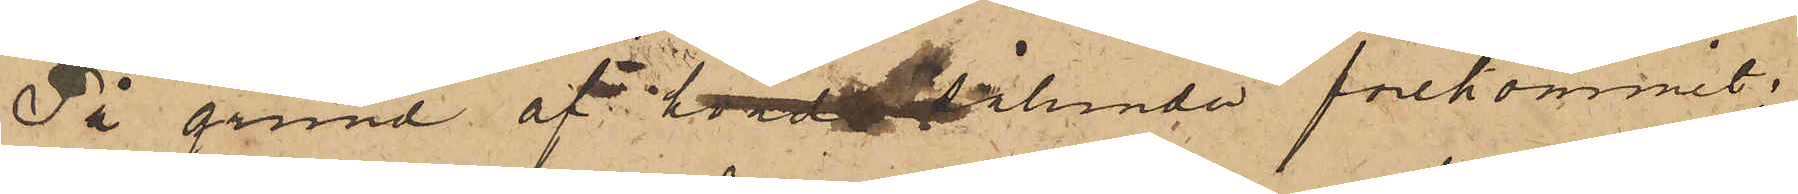På grund af hvad sålunda förekommit;
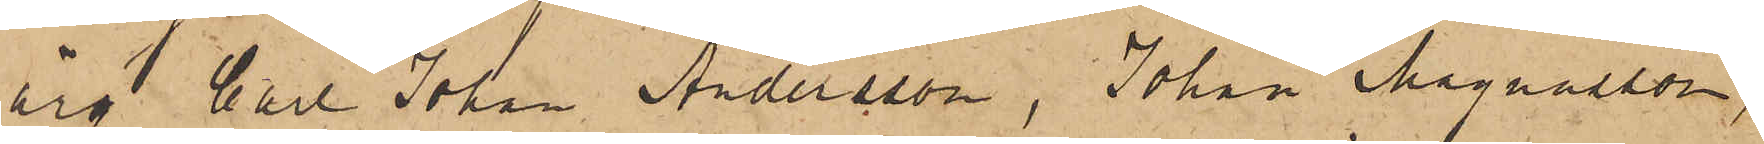äro Carl Johan Andersson, Johan Magnusson,
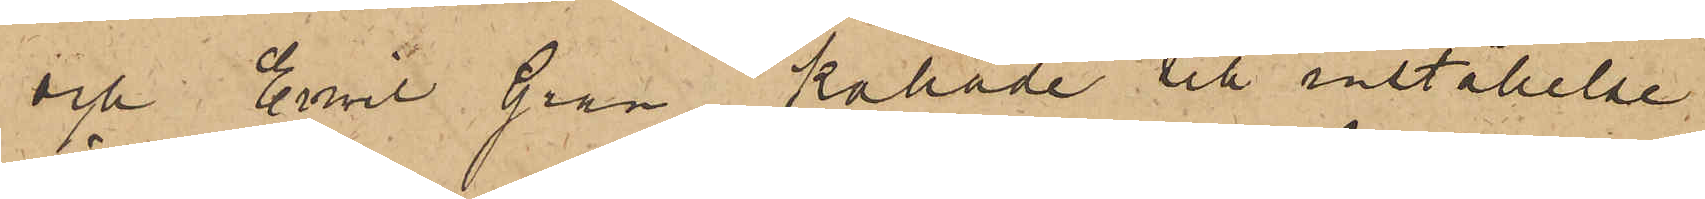och Emil Gran kallade till inställelse
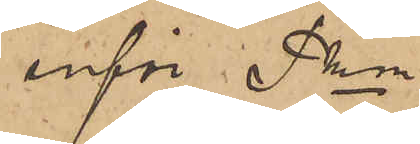inför Pkn
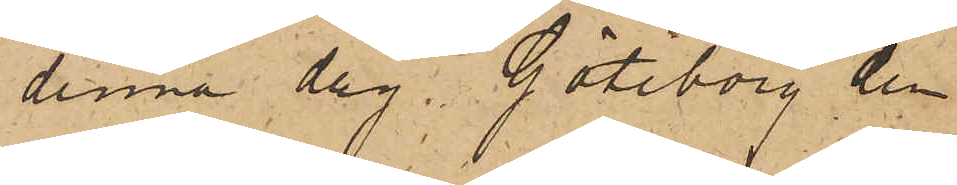denna dag. Göteborg den
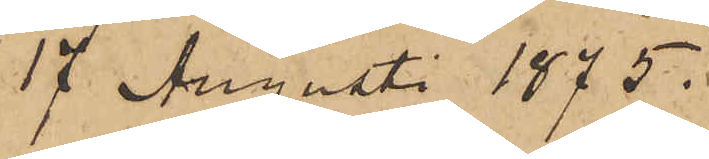17 Augusti 1875.
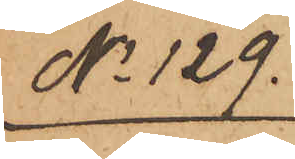No 129.
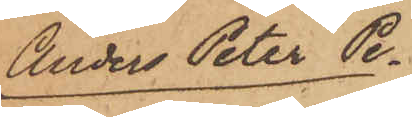Anders Peter Pe¬
